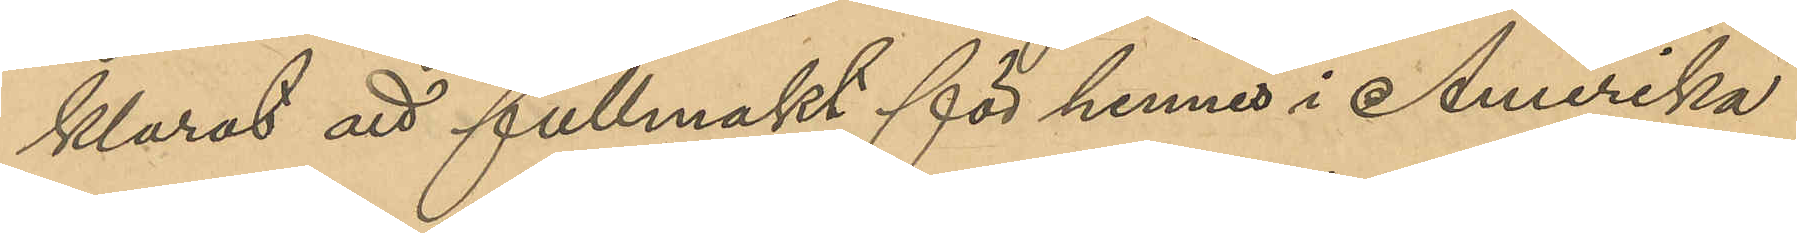klarat att fullmakt för henne i Amerika
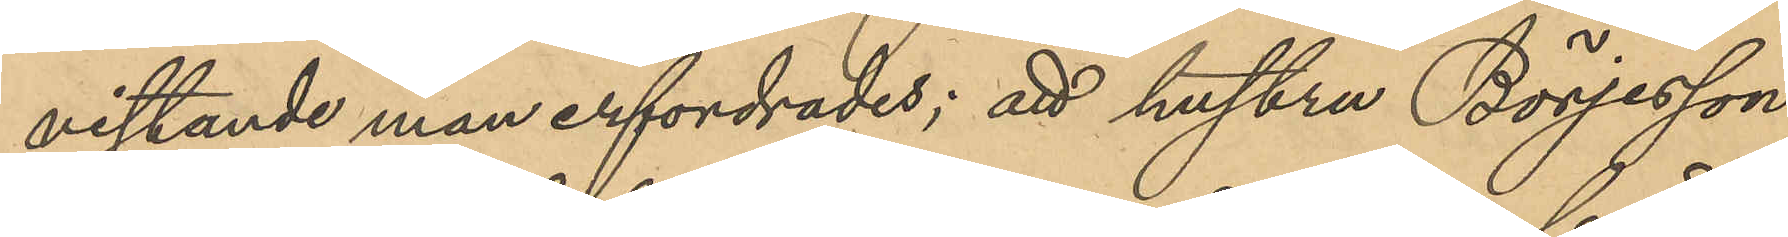vistande man erfordrades; att hustru Börjesson
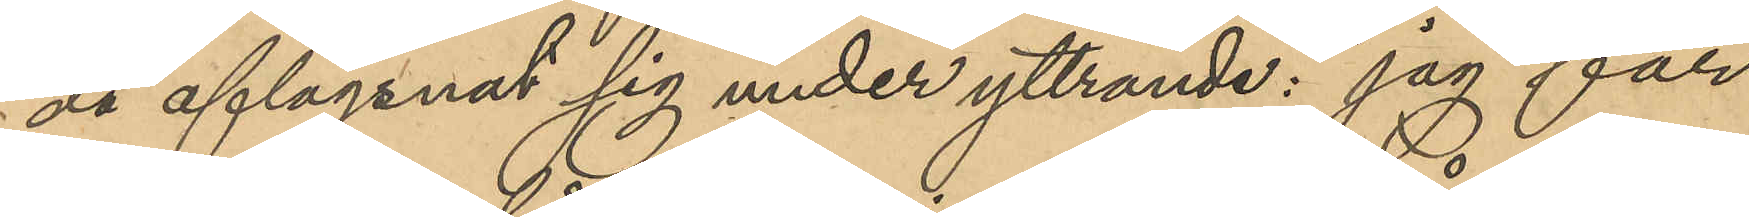då aflägsnat sig under yttrande: "jag får
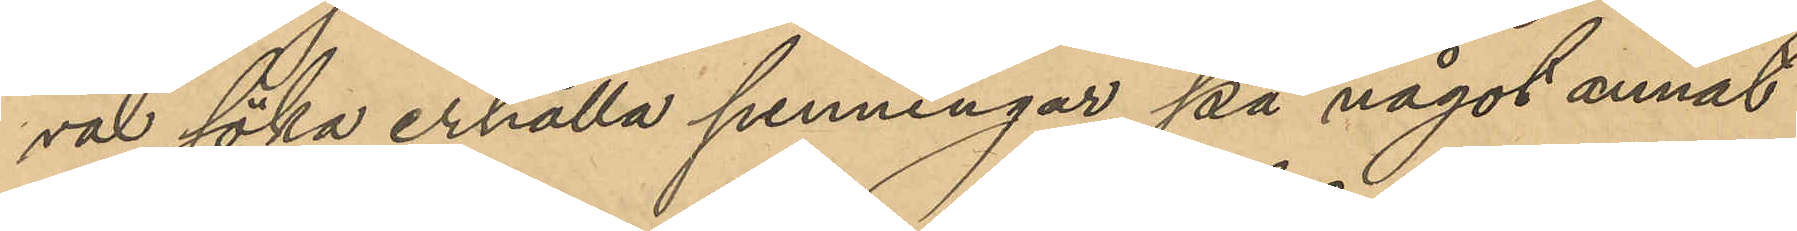väl söka erhålla penningar på något annat
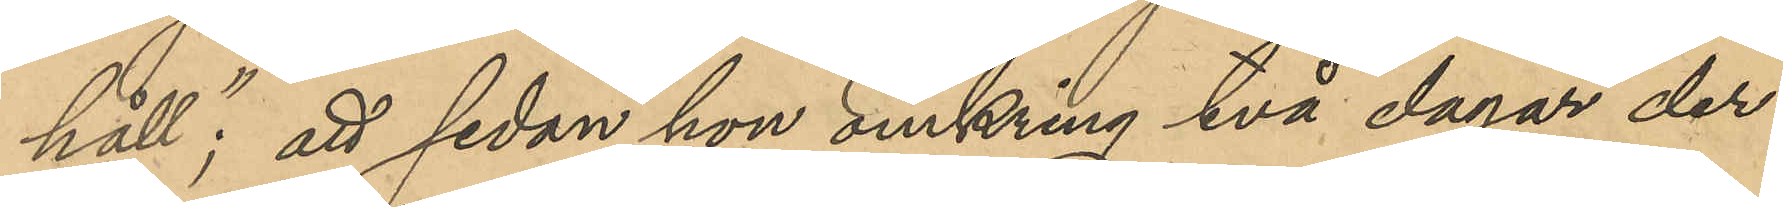håll"; att sedan hon omkring två dagar der¬
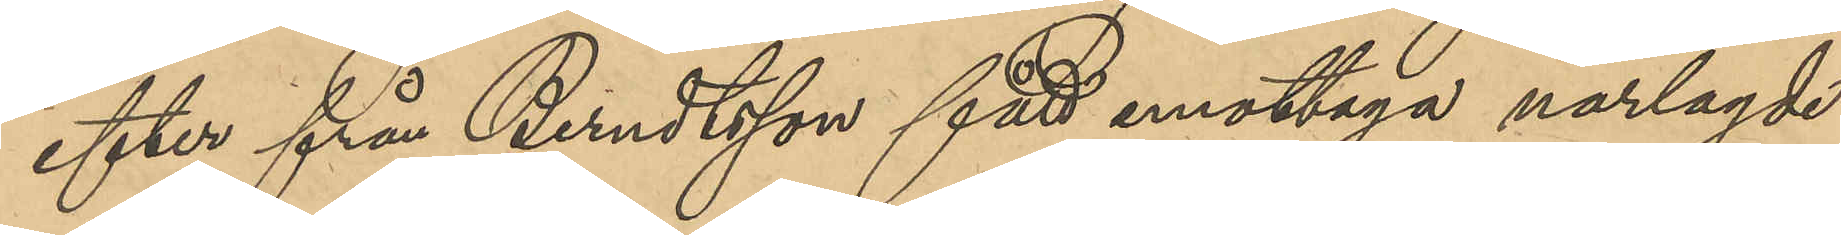efter från Berndtsson fått mottaga närlagde
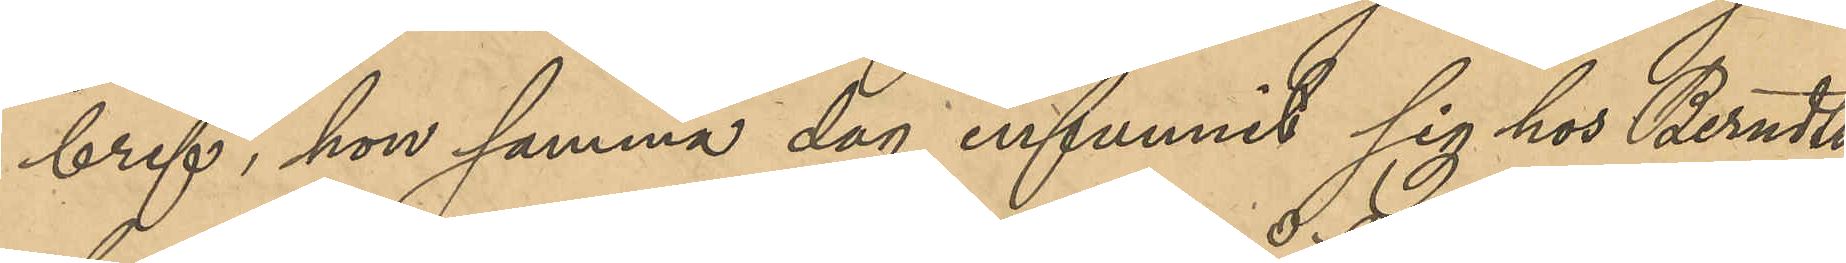bref, hon samma dag infunnit sig hos Berndts¬
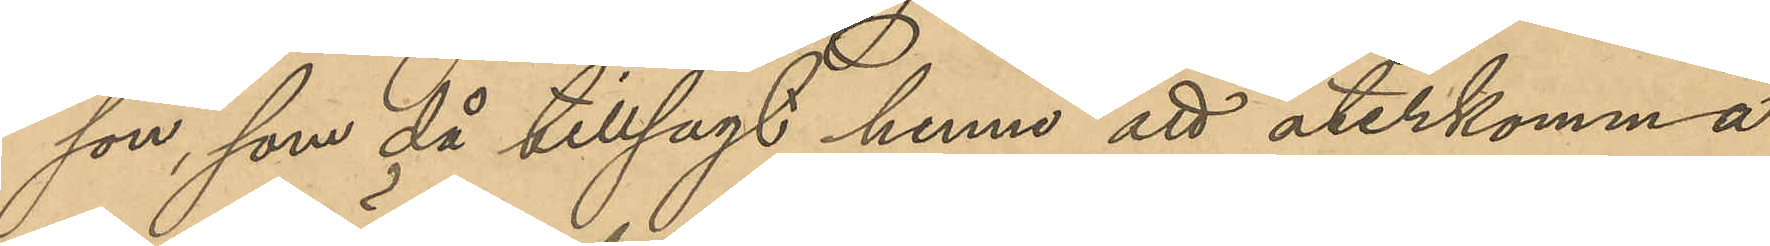son, som då tillagt henne att återkomma
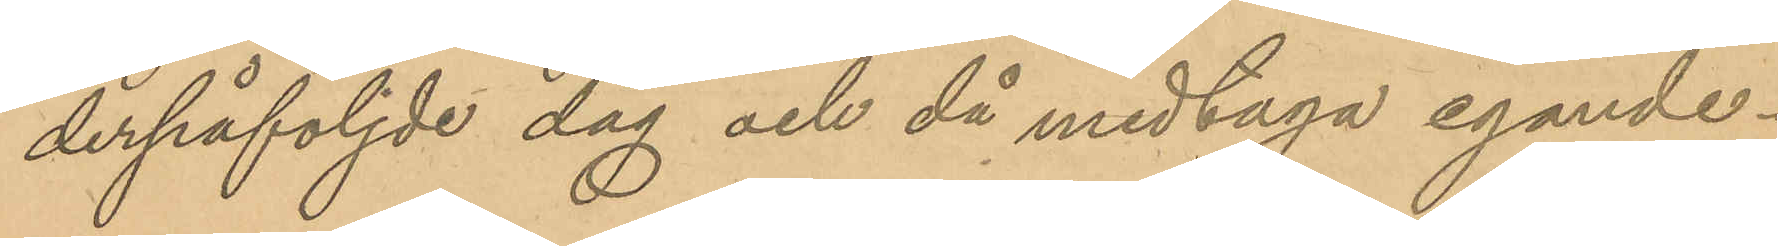derpåföljde dag och då medtaga egande¬
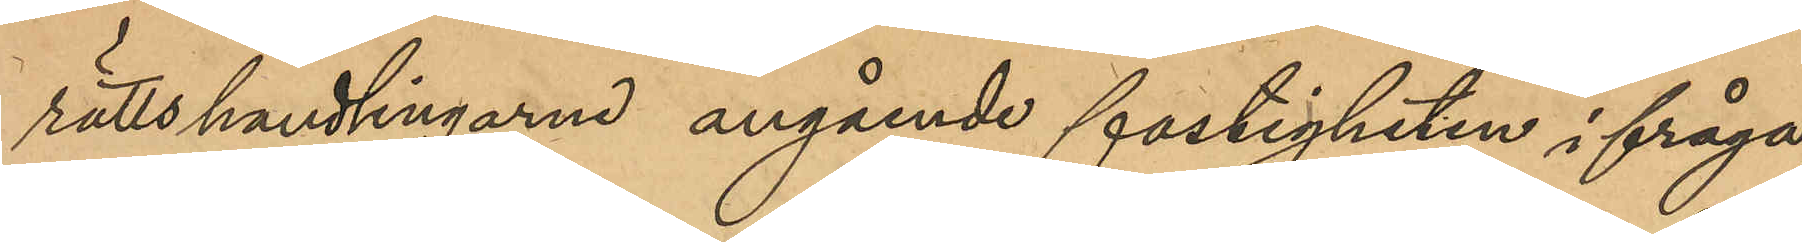rättshandlingarne angående fastigheten ifråga,
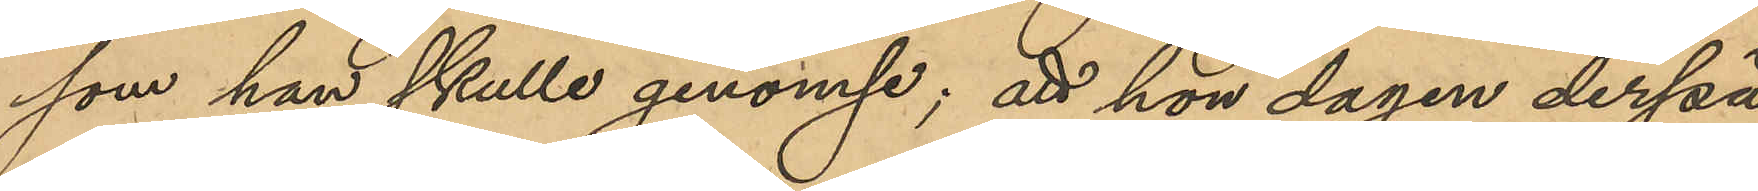som han skulle genomse; att hon dagen derpå
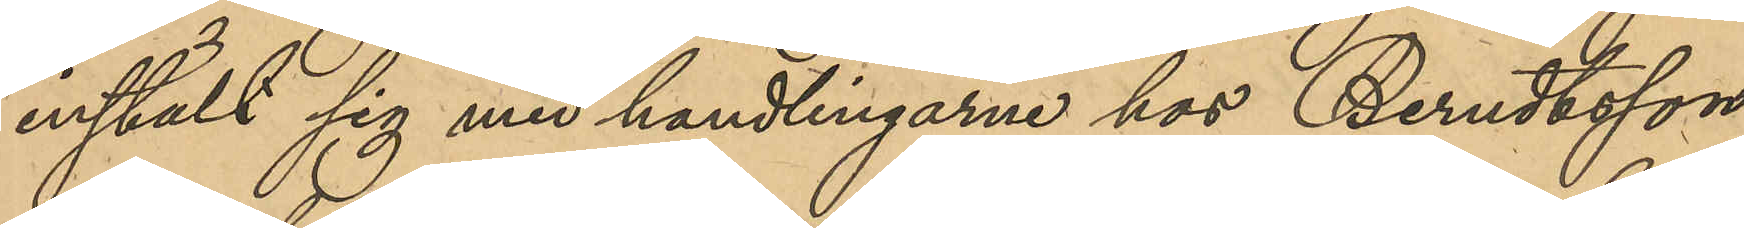instält sig med handlingarne hos Berndtsson,
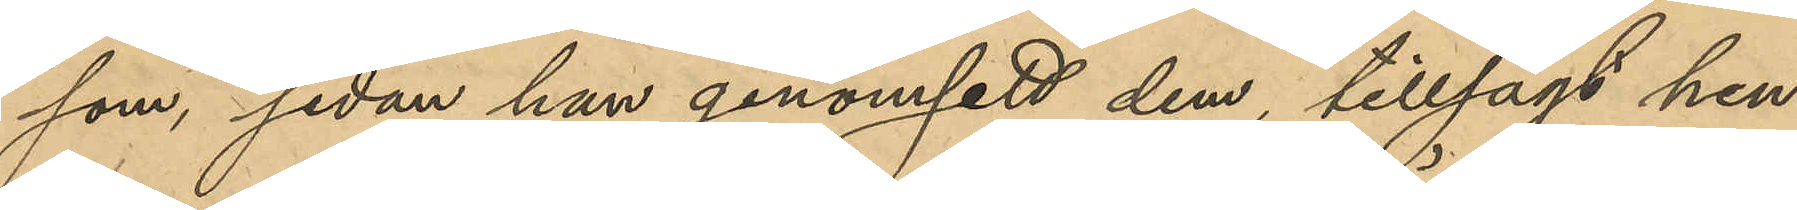som, sedan han genomsett dem, tillsagt hen¬
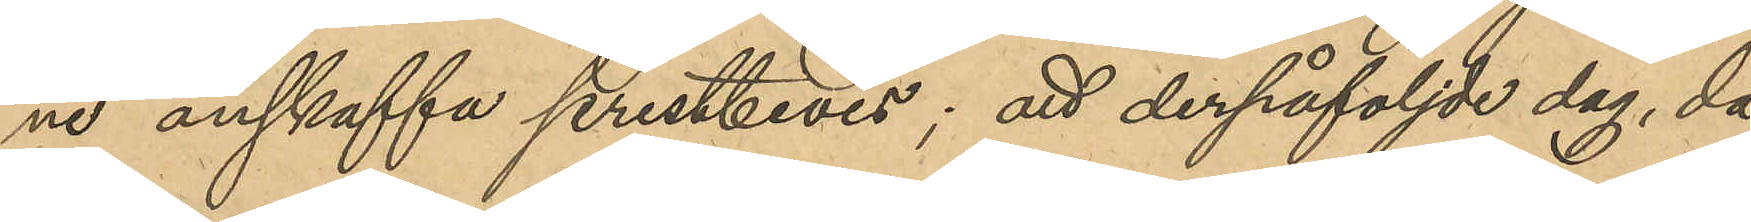ne anskaffa prestbevis; att derpåföljde dag, då
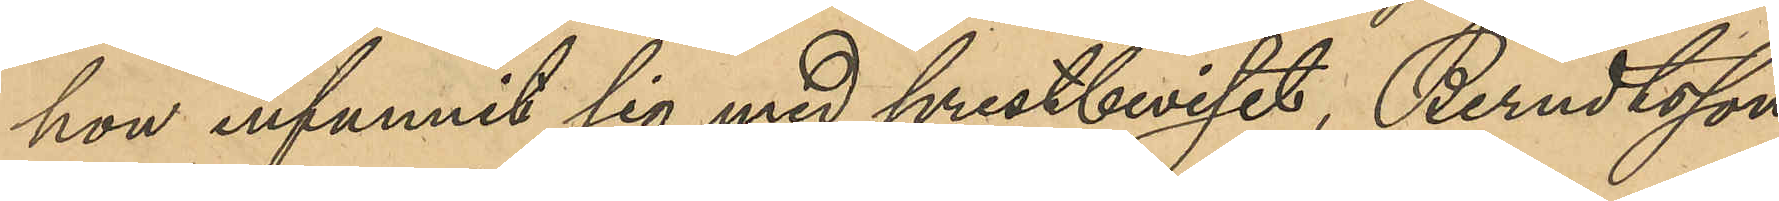hon infunnit sig med prestbeviset, Berndtsson
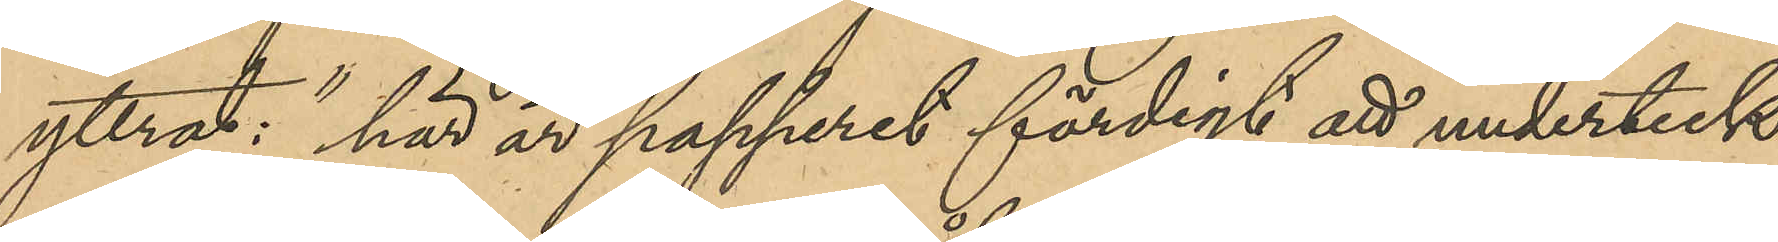yttrat: "här är papperet färdigt att underteck¬
